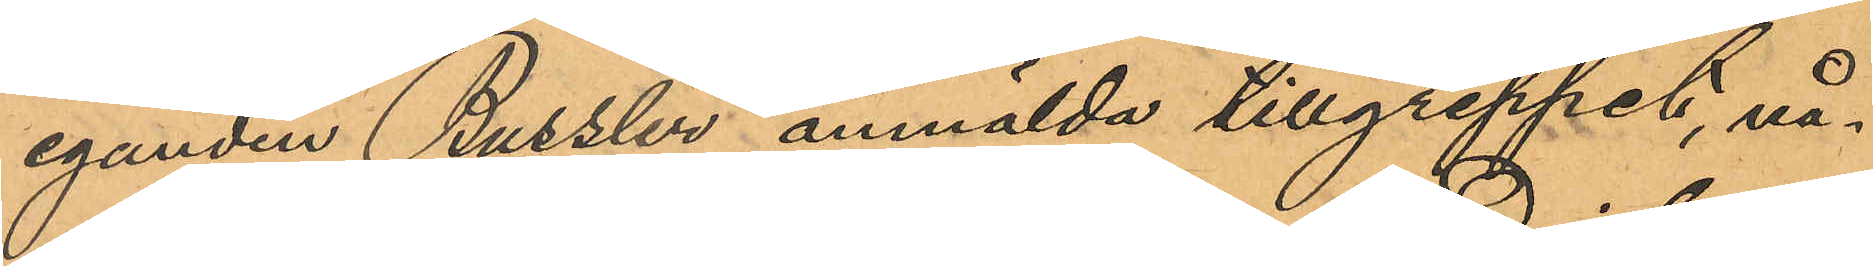eganden Bussler anmälda tillgreppet, nå¬
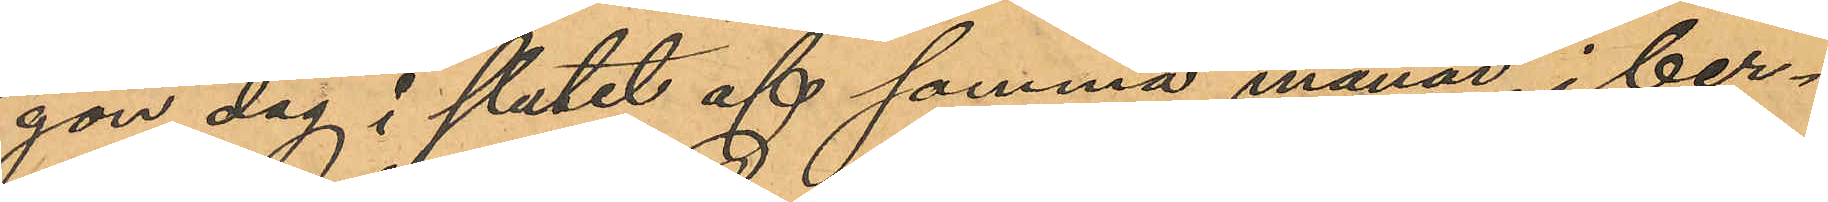gon dag i slutet af samma månad, i ber¬
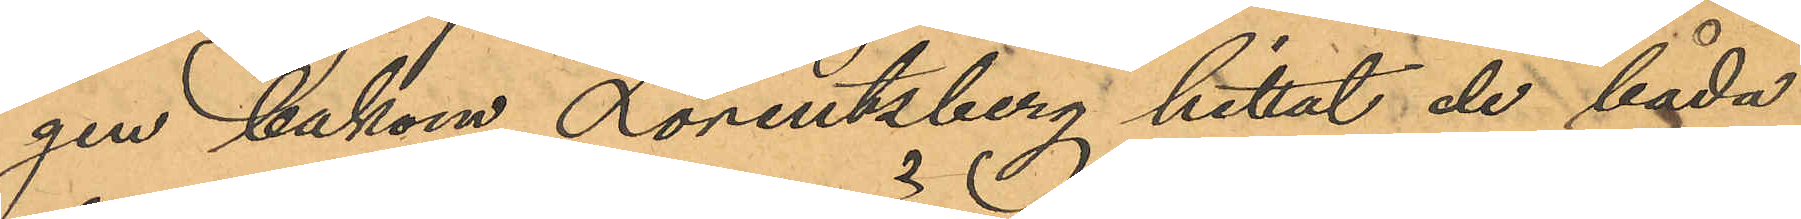gen bakom Lorentzberg hittat de båda
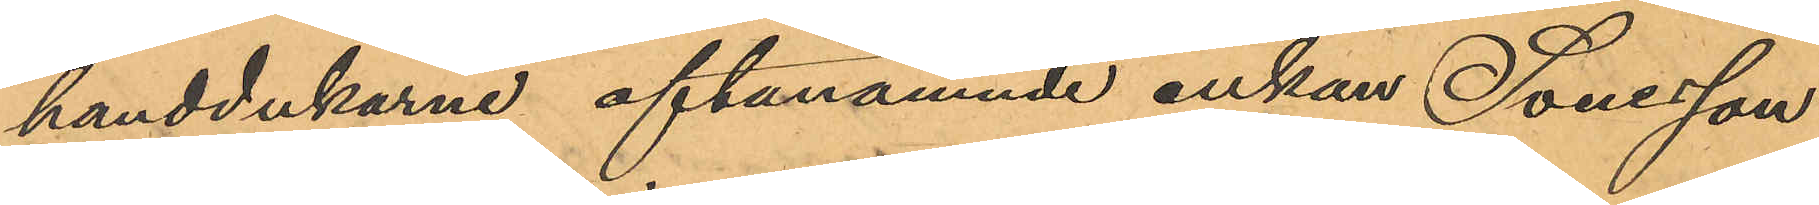handdukarne oftanämnde enkan Soneson
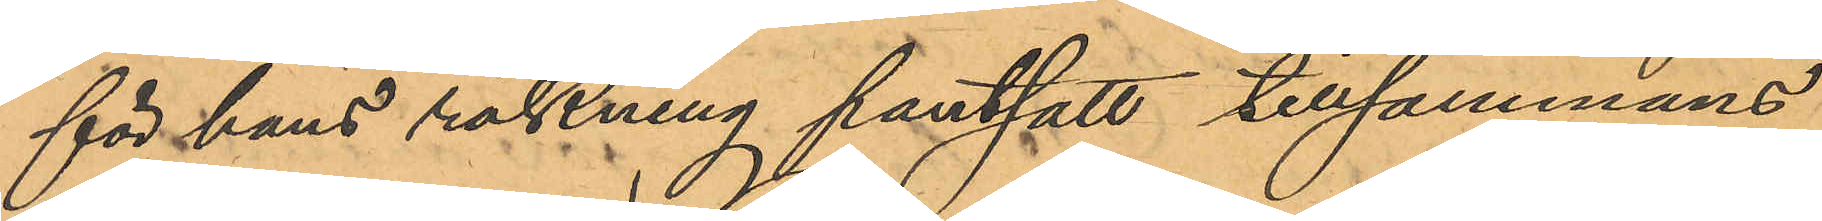för hans räkning pantsatt tillsammans
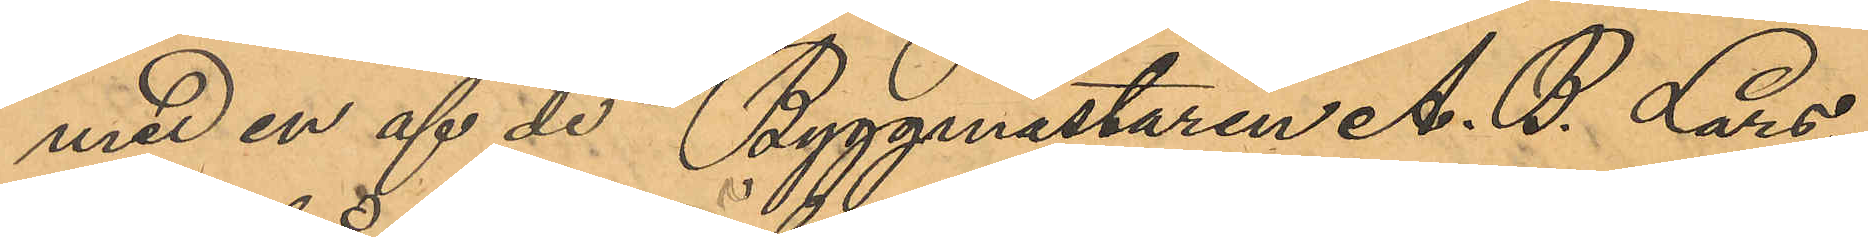med en af de Byggmästaren A. B. Lars¬
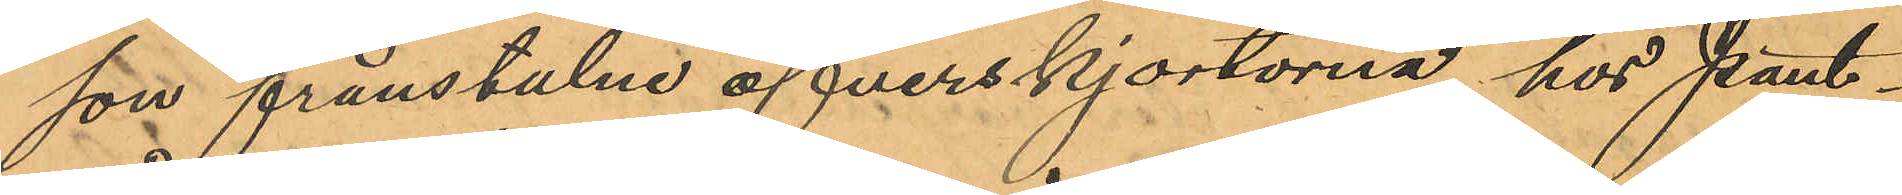son frånstulne öfverskjortorna hos Pant¬
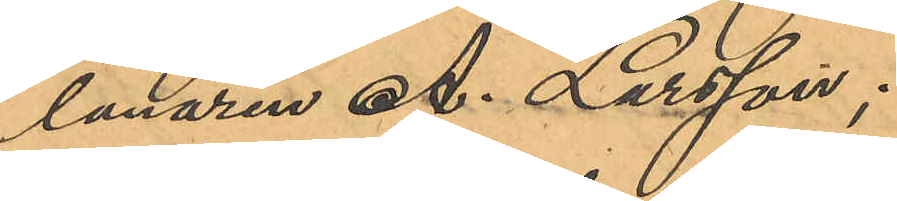lånaren A. Larsson;
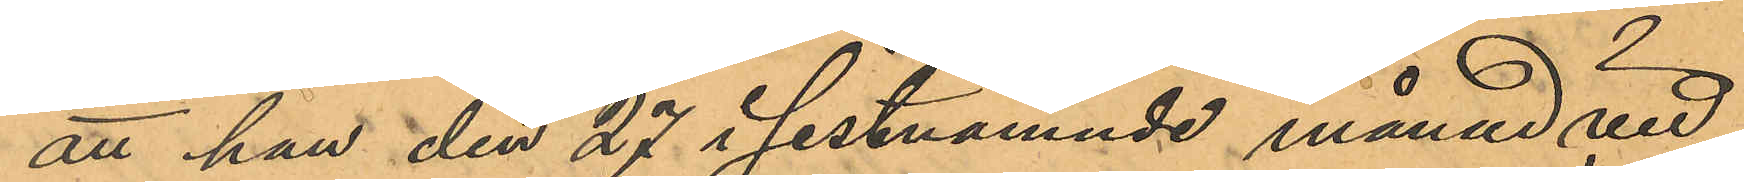att han den 27 i sistnämnde månad vid
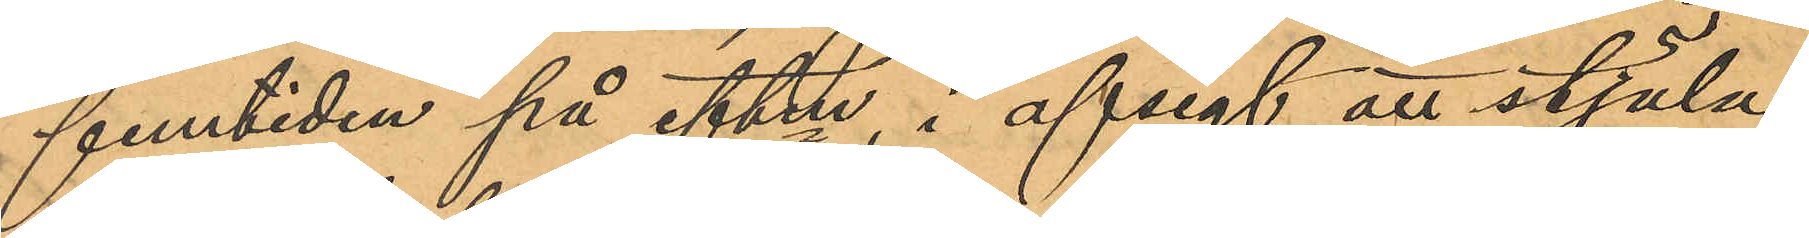femtiden på eftm, i afsigt att stjäla,
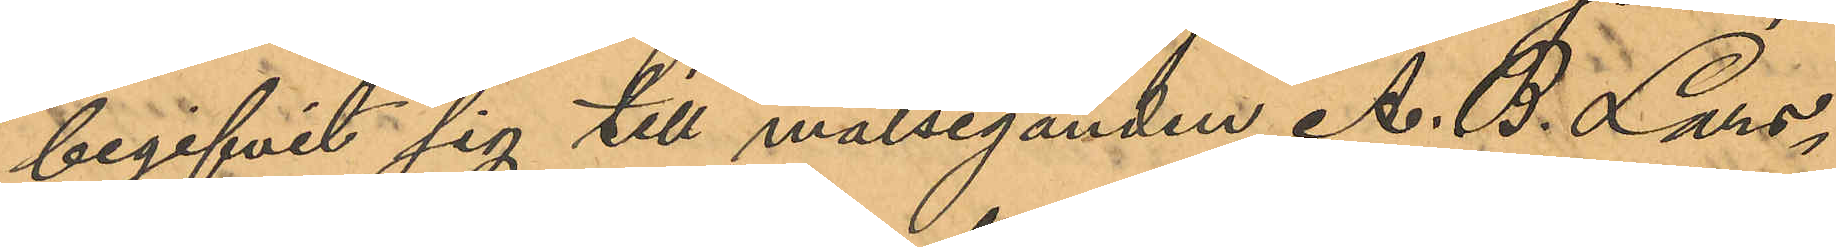begifvit sig till målseganden A. B. Lars¬
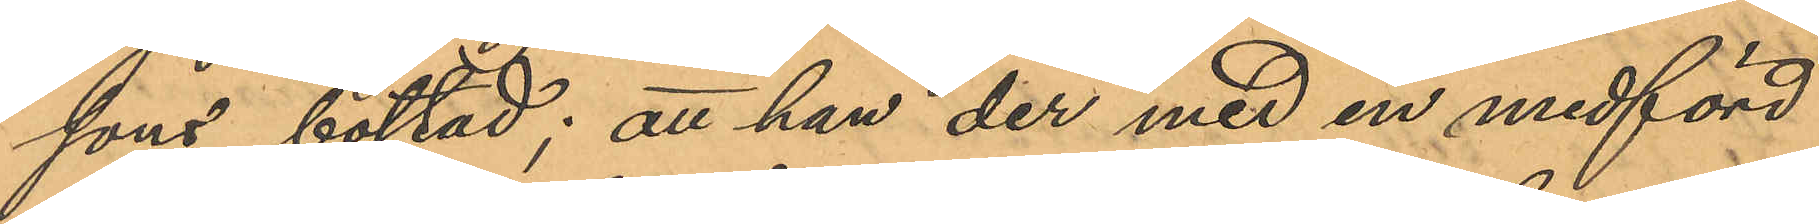sons bostad; att han der med en medförd
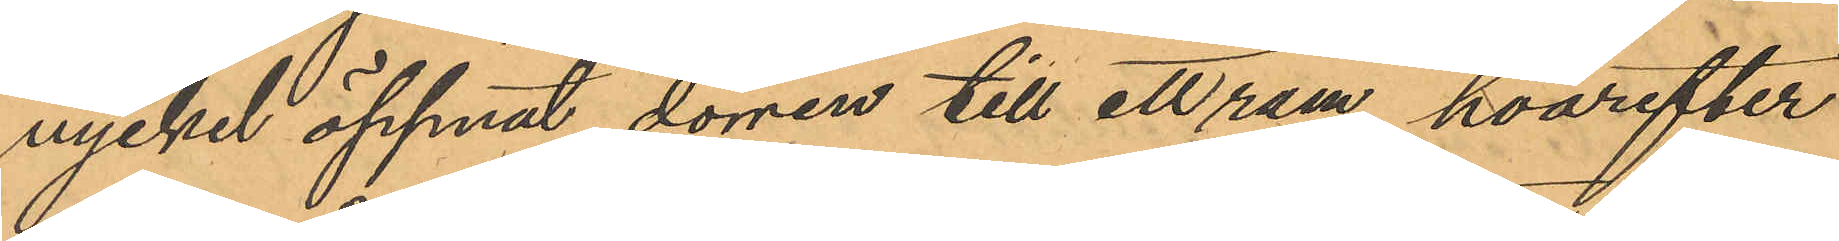nyckel öppnat dörren till ett rum, hvarefter
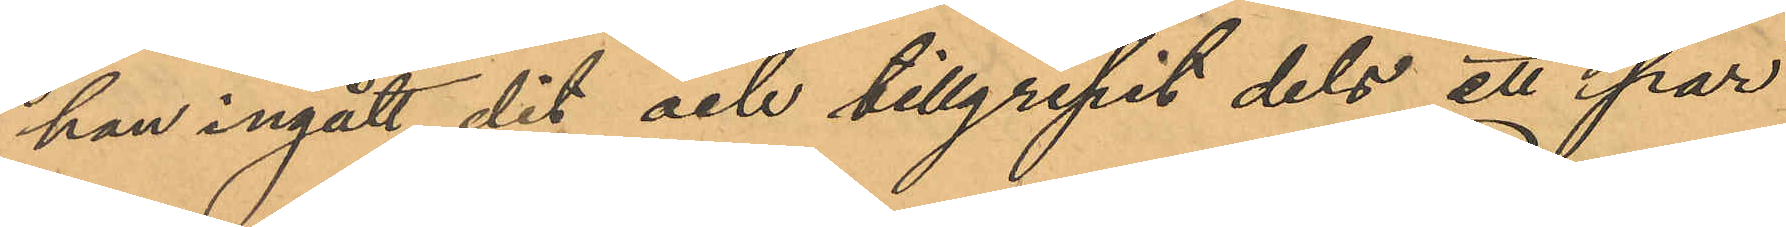han ingått dit och tillgripit dels ett i par
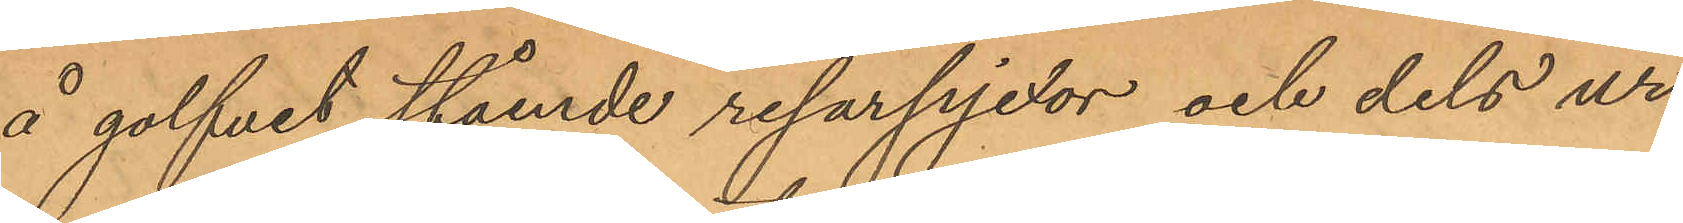å golfvet stående resårpjexor och dels ur
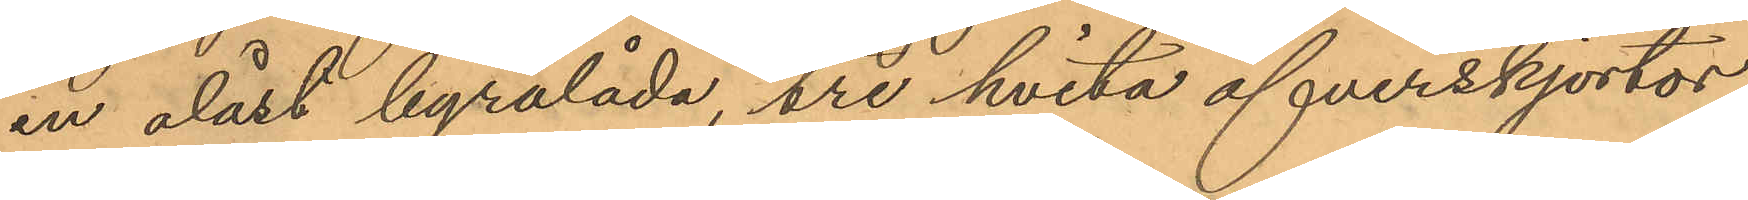en olåst byrålåda, tre hvita öfverskjortor,
